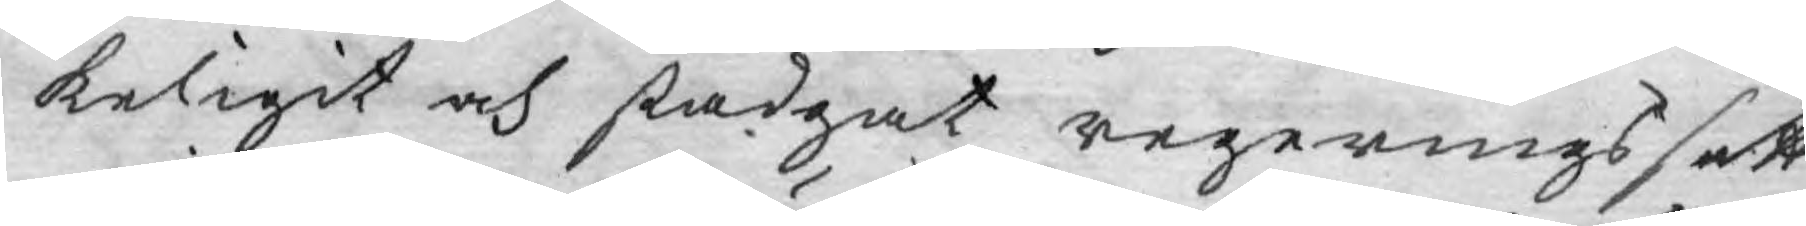keligit och stadgat regerings sätt.
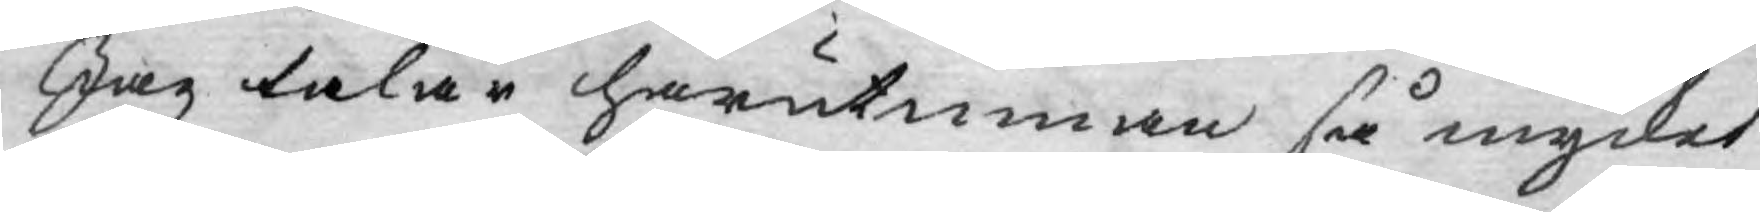Jag talar härutinnan så mycket
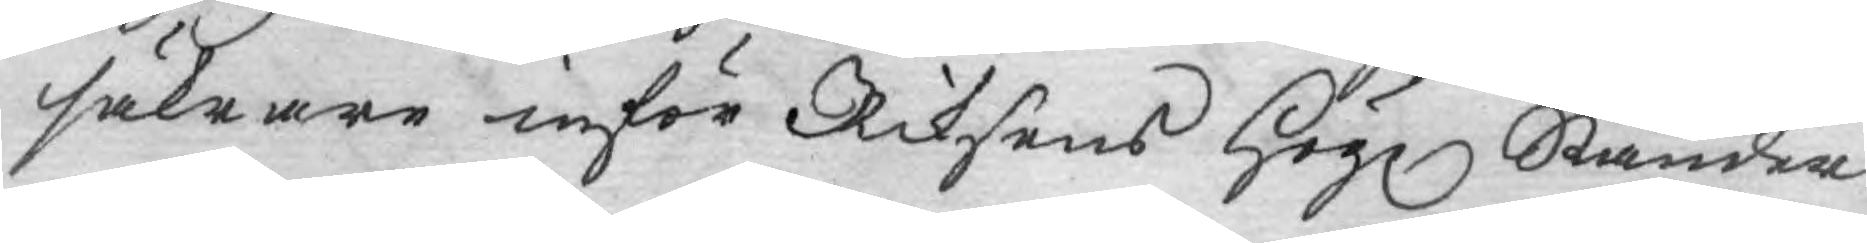säkrare inför Riksens Högl Ständer
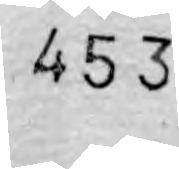453
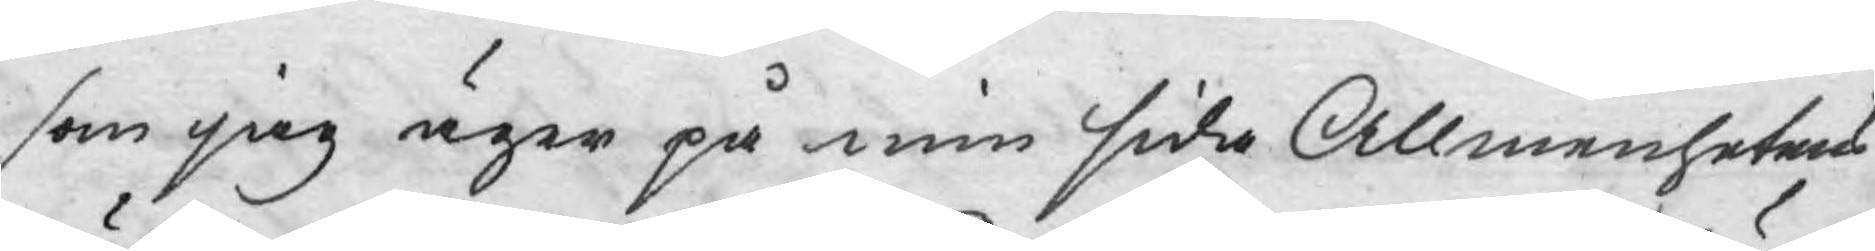som jag äger på min sida Allmenhetens
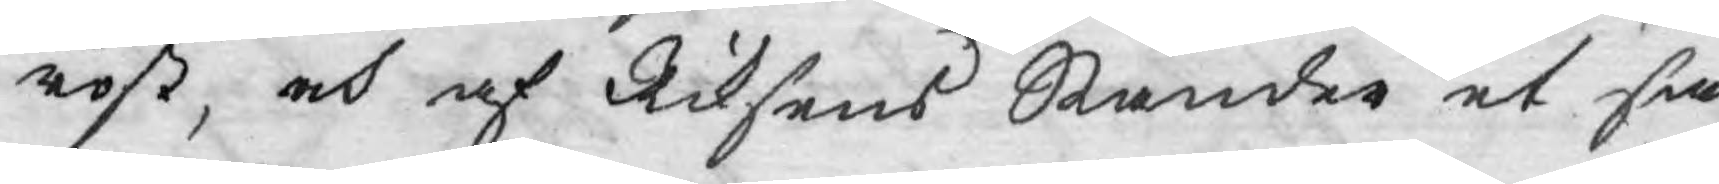röst, och af Riksens Ständer et sä¬
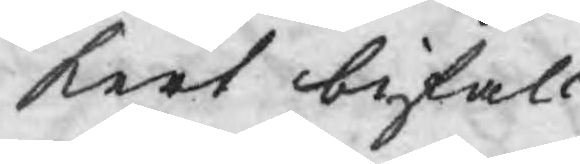kert bifall.
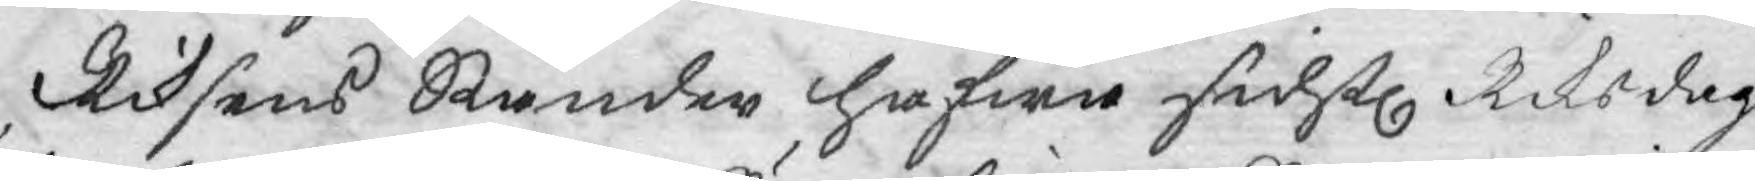Riksens Ständer hafwa sidstl. Riksdag
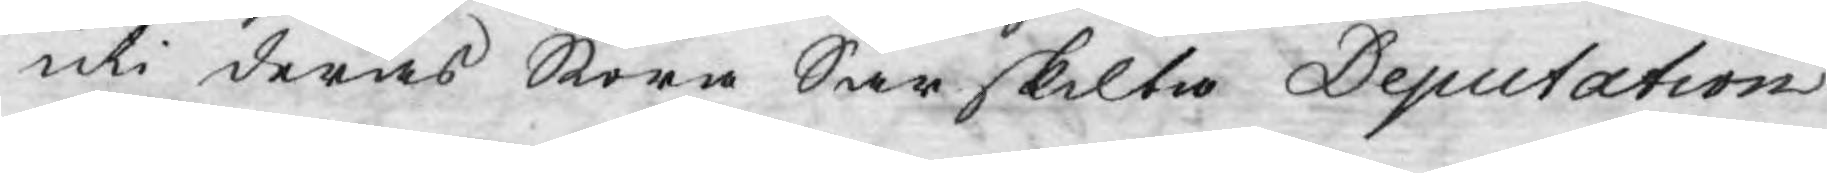uti deras Stora Särskilta Deputation
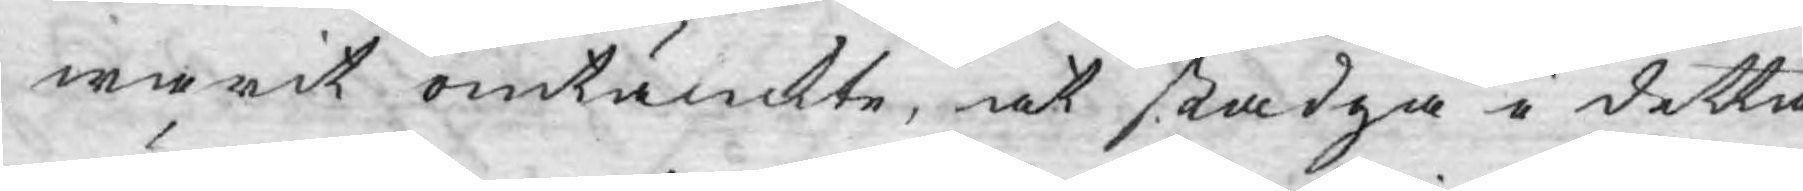warit omtänckte, at stadga i detta
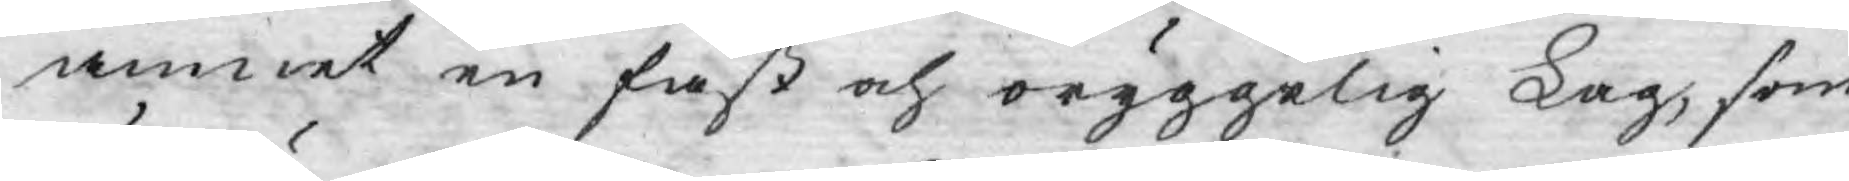ämnet en fast och oryggelig Lag, som
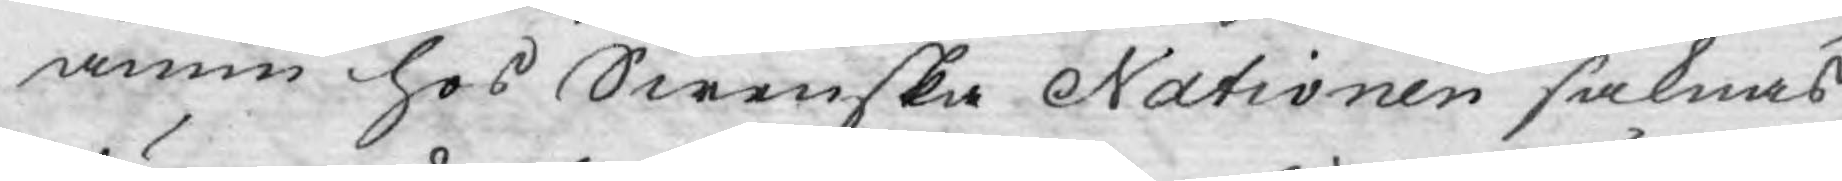ännu hos Swenska Nationen saknas;
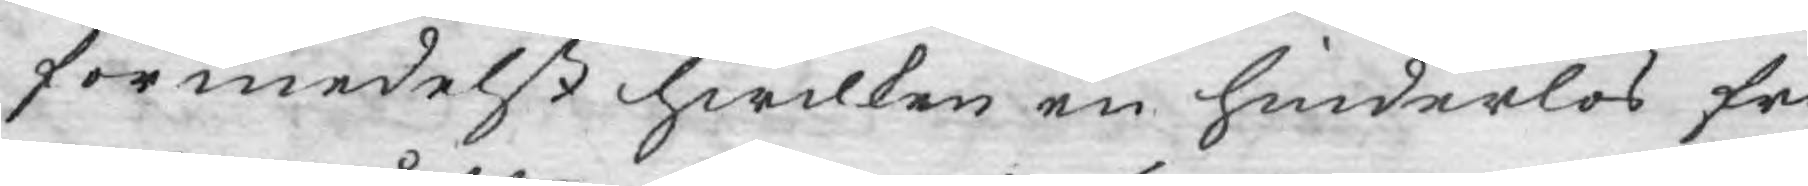förmedelst hwilken en hinderlös fri¬
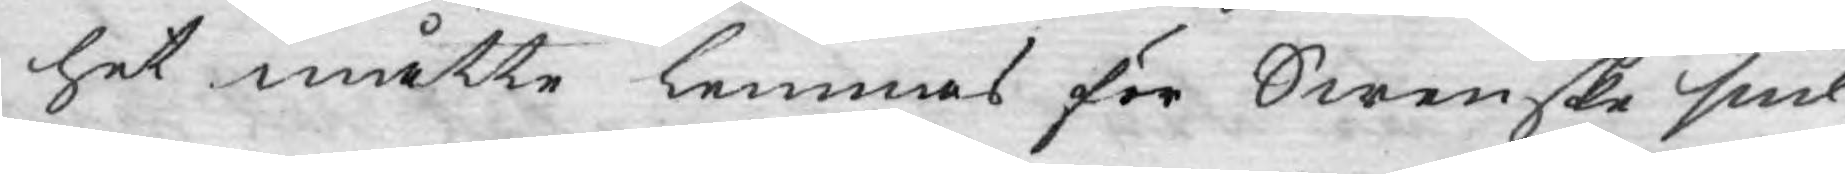het måtte lemnas för Swenske snil¬
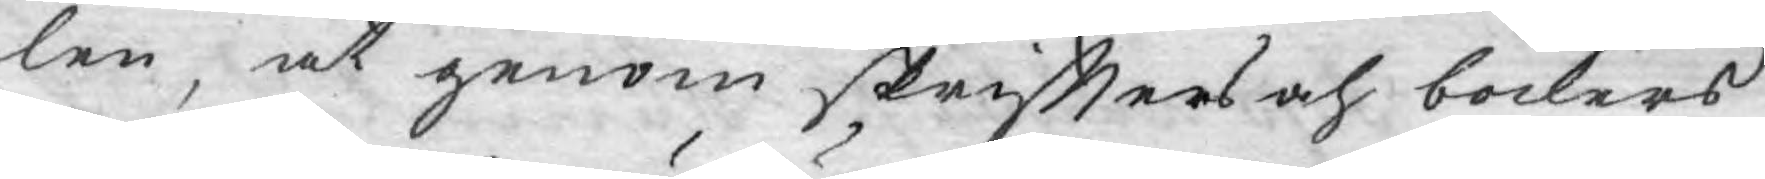len, at genom skrifters och böckers
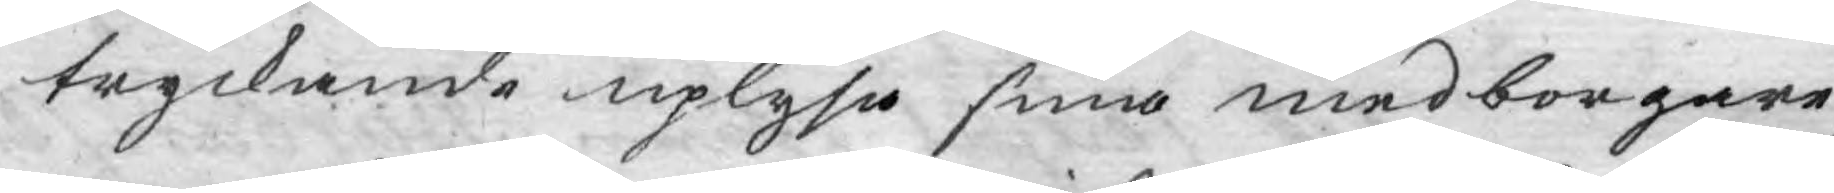tryckande uplysa sina medborgare;
